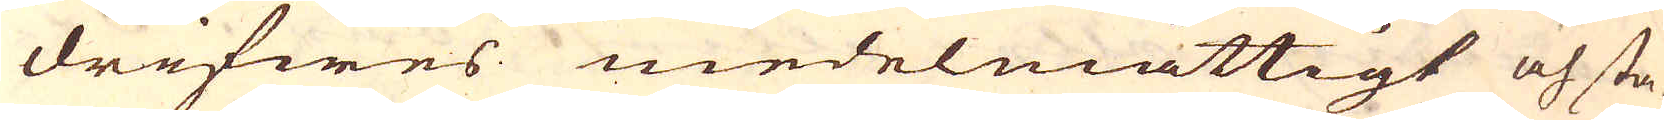drifwes medelmåttigt och sta-
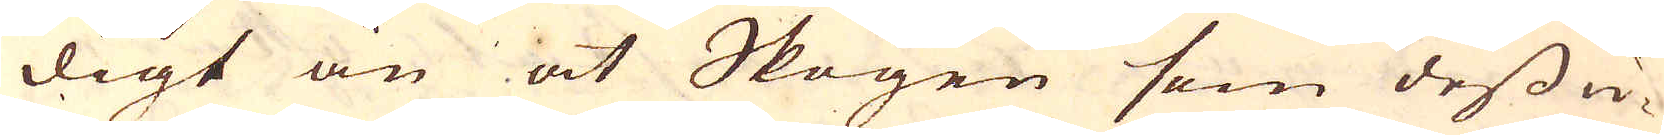digt än at Skogen som dess u-
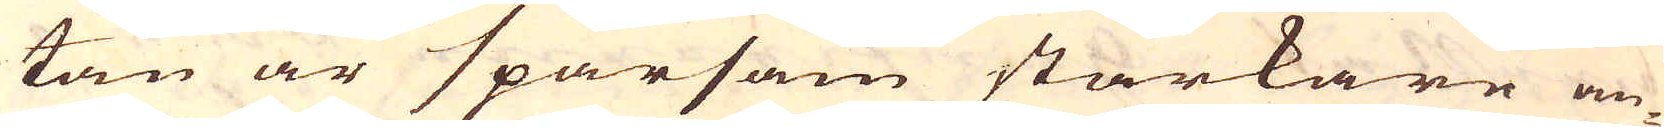tan är sparsam starkare an-
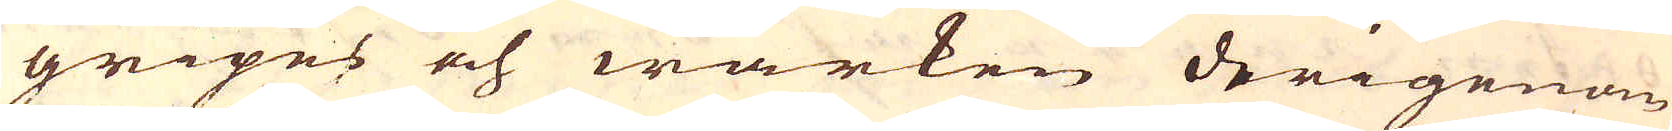gripes och wärken derigenom
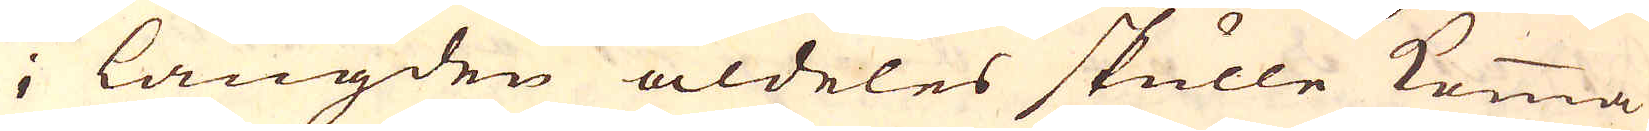i längden aldeles skulle komma
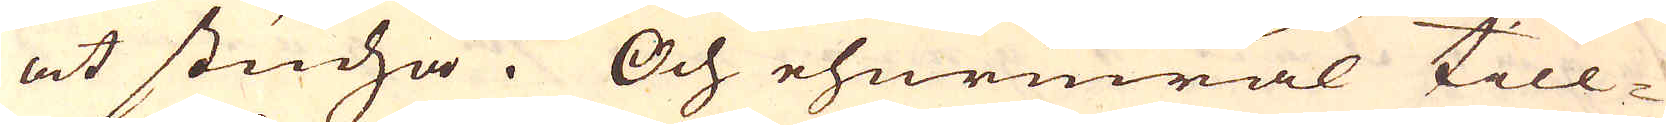at studsa. Och ehuruwäl till-
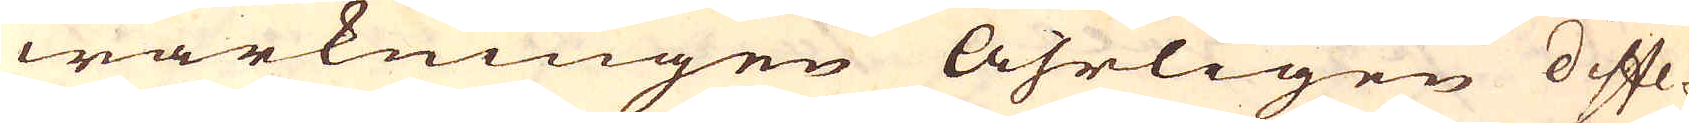wärkningen Åhrligen diffe-
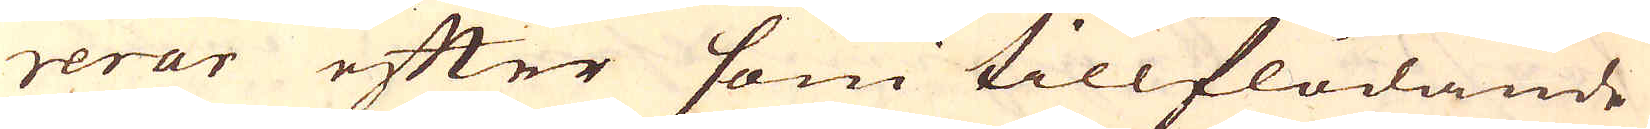rerar efter som tillflödande
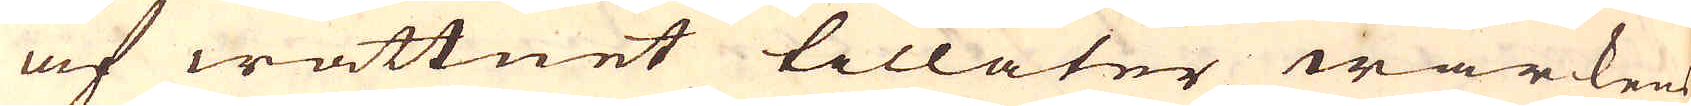af wattnet tillåter wärkens
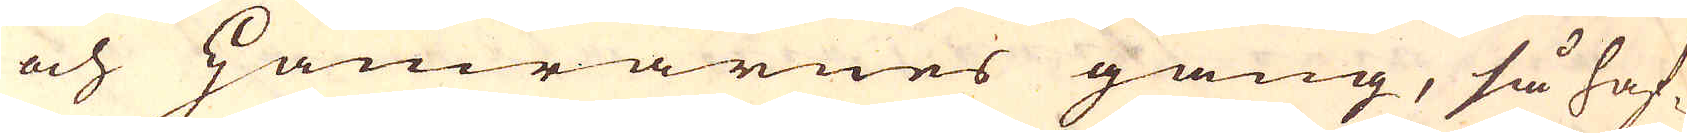och Hamrarnes gång, så haf-
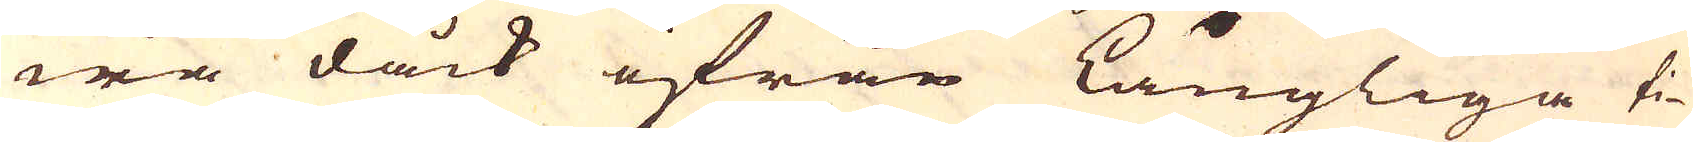wa dåck ifrån Långliga ti-
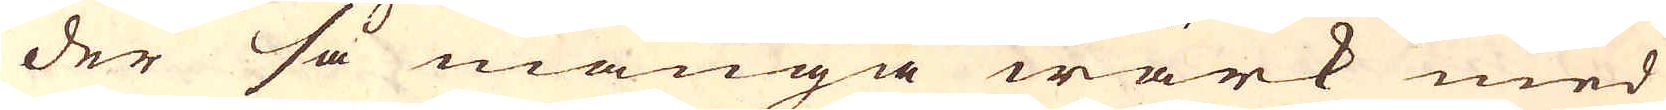der så många wärk med
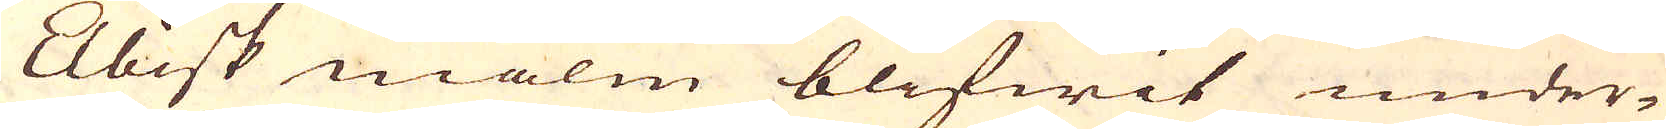Elbisk malm blifwit under-
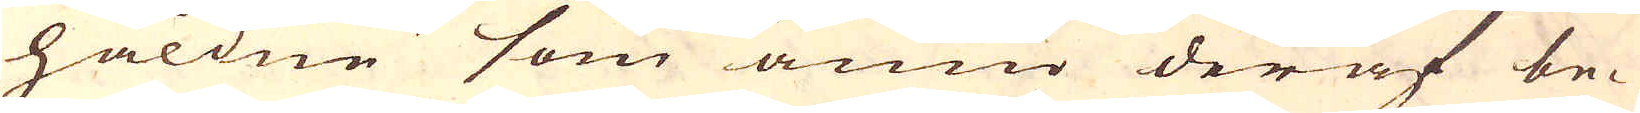håldne som ännu deraf be-
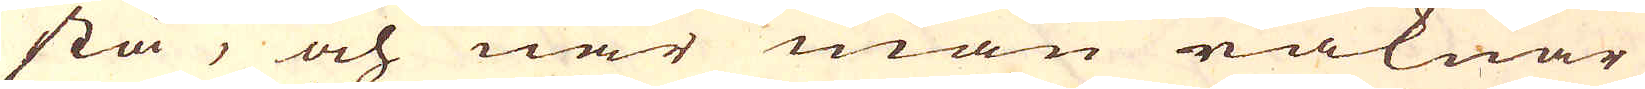stå, och när man räknar
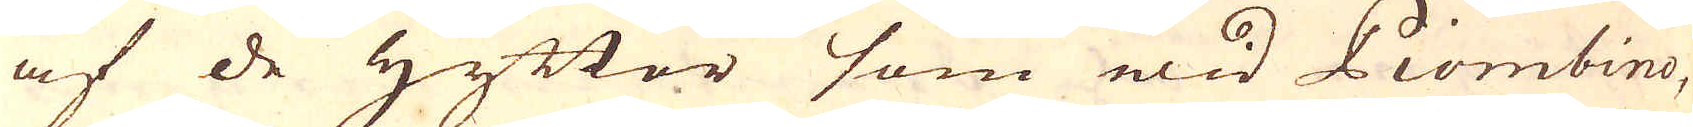af de Hyttor som wid Piombino,
